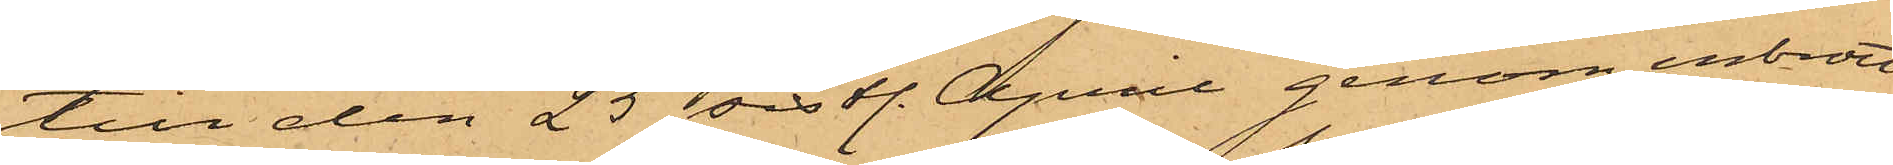till den 25 sistl. April genom inbrott
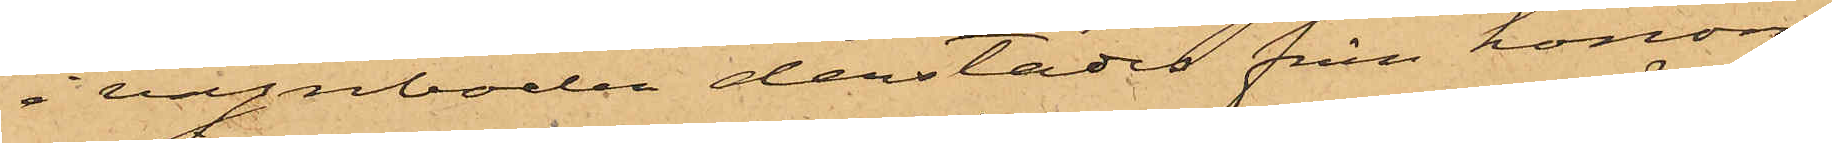i vagnboden derstädes från honom
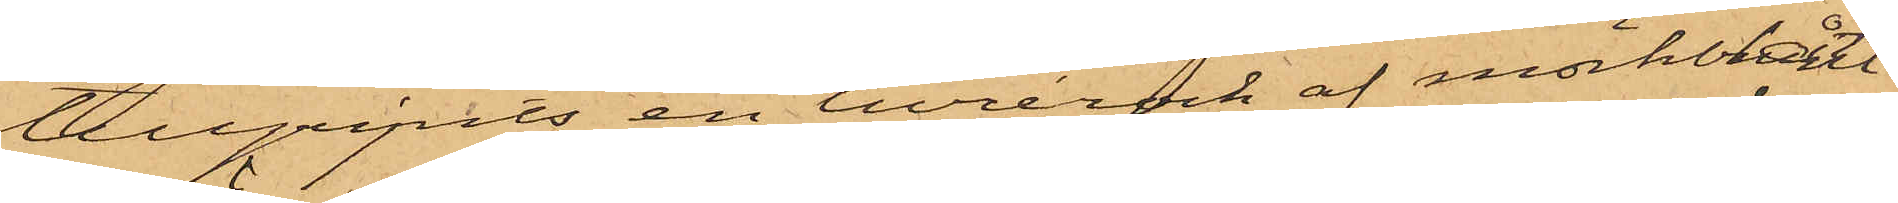tillgripits en livrérock af mörkblått
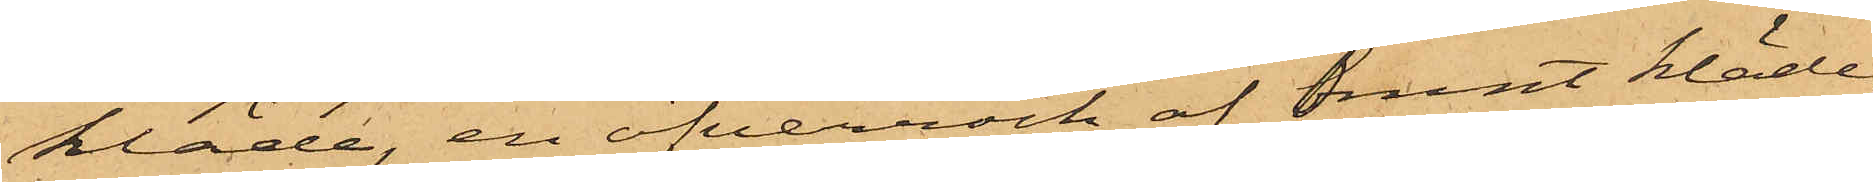kläde, en öfverrock af brunt kläde,
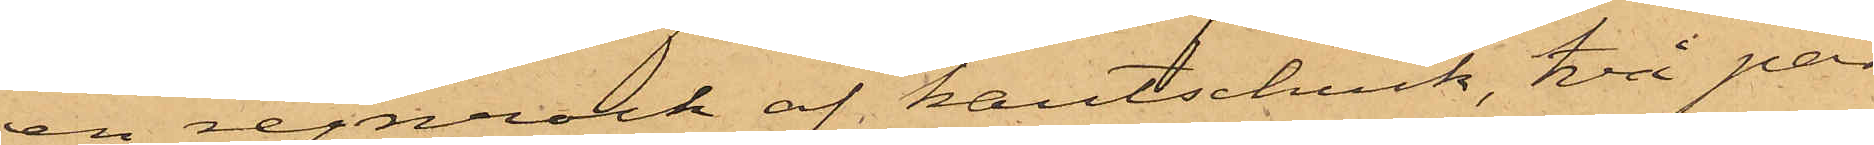en regnrock af kautschuck, två par
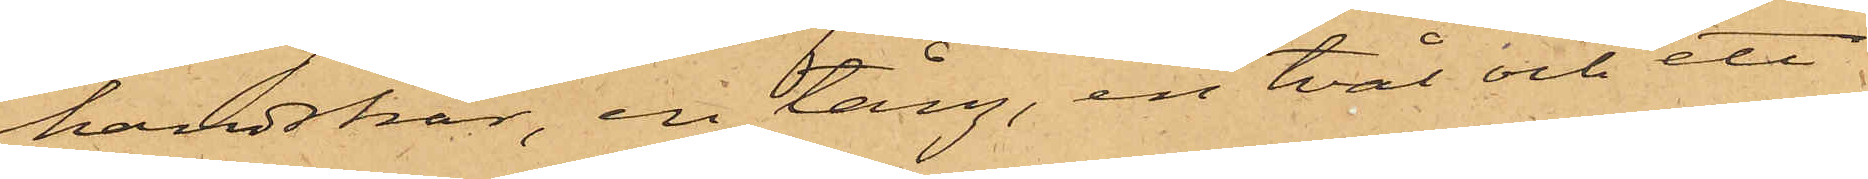handskar, en tång, en tvål och ett
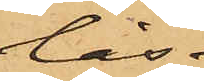lås.
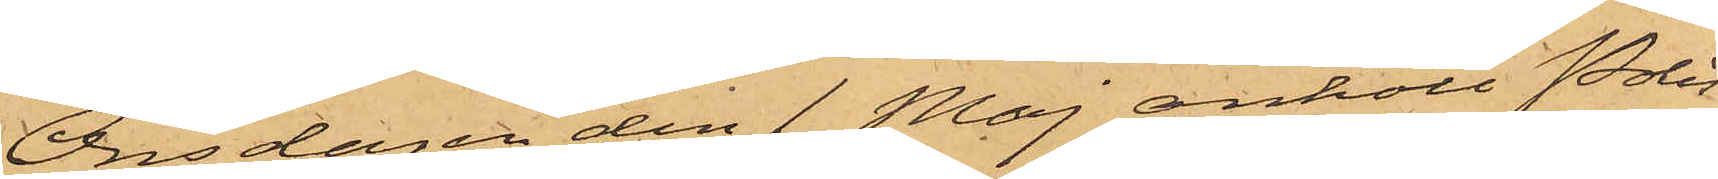Onsdagen den 1 Maj anhöll Polis¬
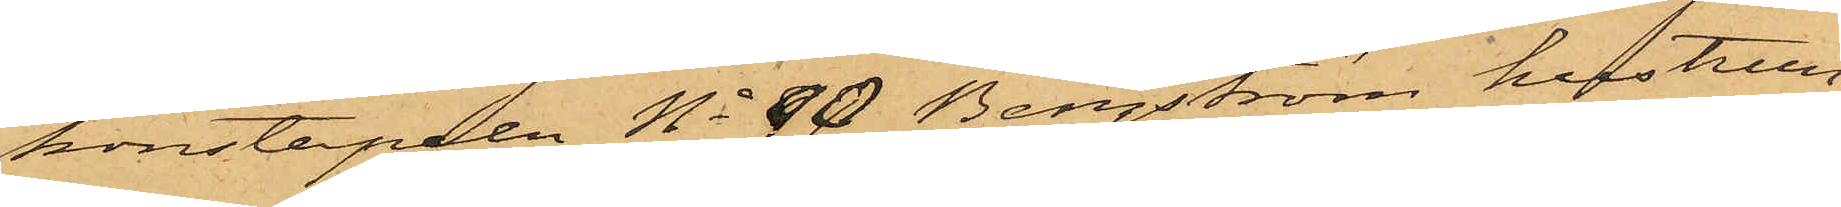konstapeln No 90 Bergström hustrun
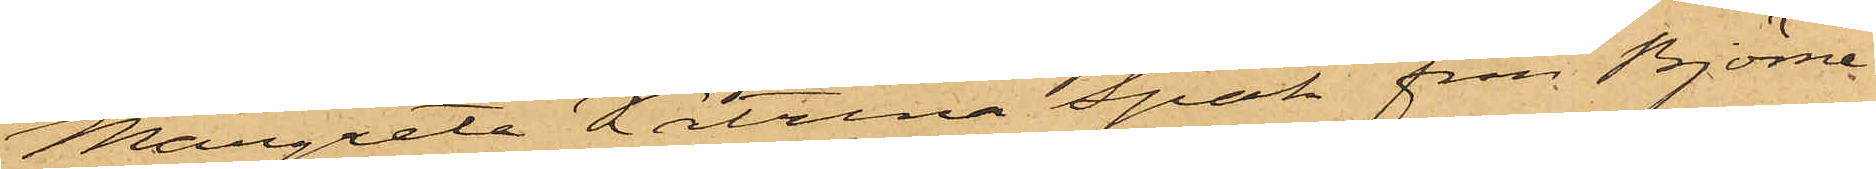Margreta Katrina Spak från Björne¬
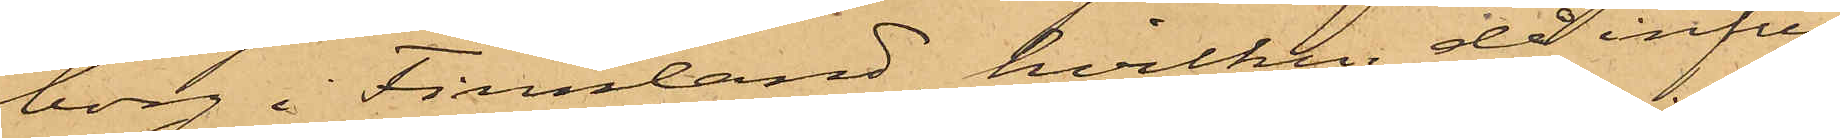borg i Finnland, hvilken då infun¬
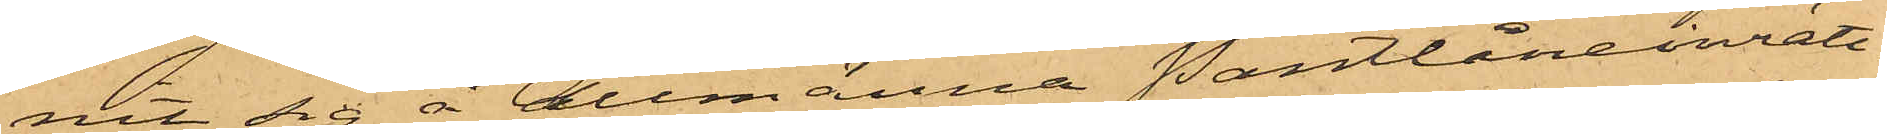nit sig å Allmänna Pantlåneinrätt¬
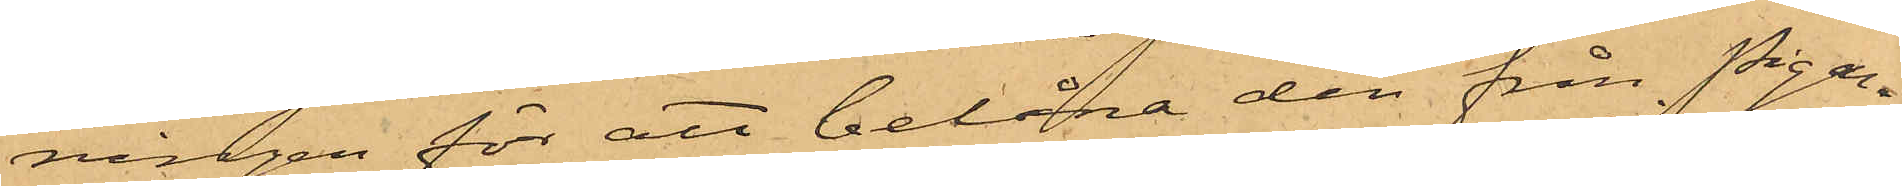ningen för att belåna den från Pigan
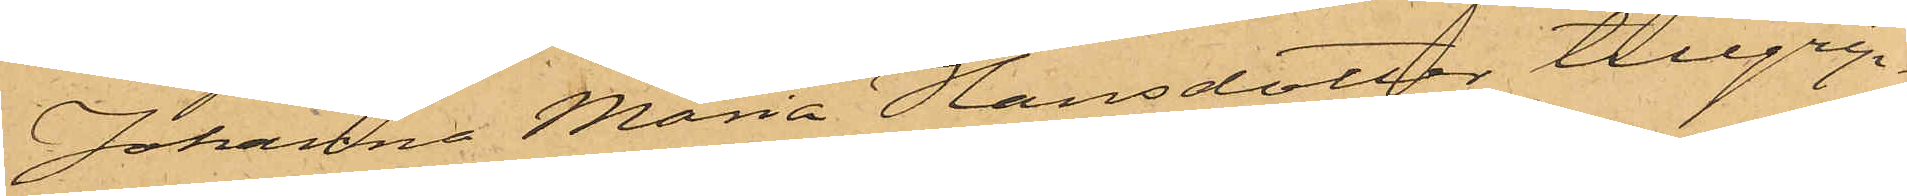Johanna Maria Hansdotter tillgrip¬
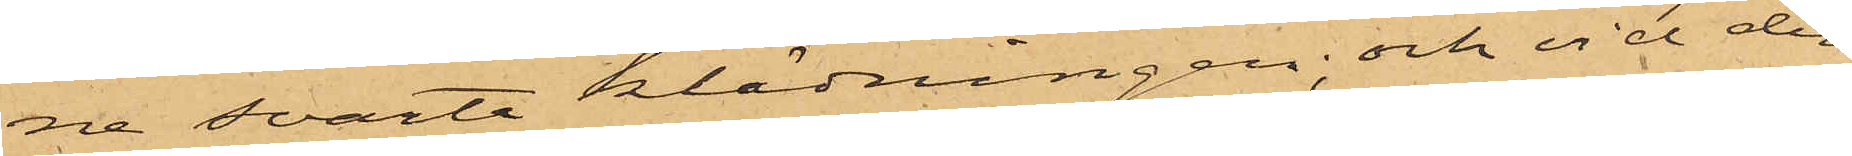ne svarta klädningen; och vid den
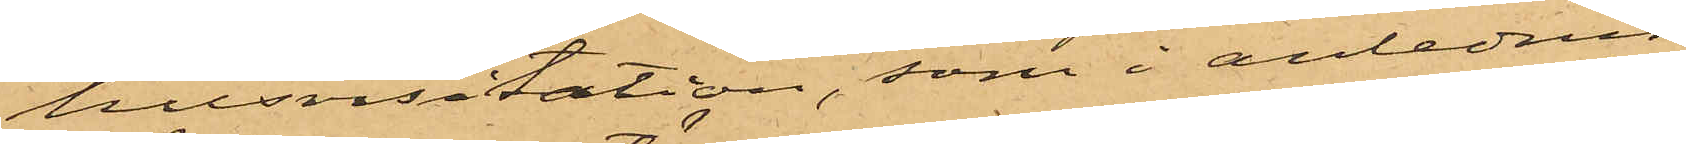husvisitation, som i anledning
